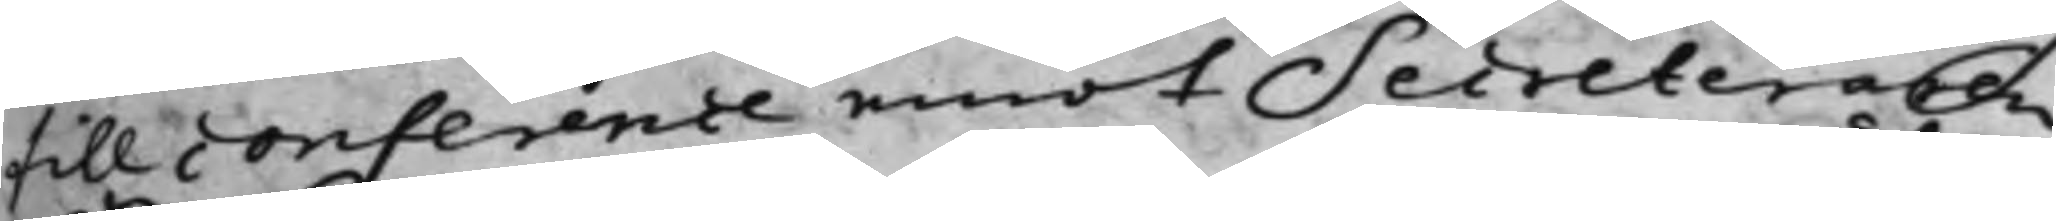till conference emot Secreteraren
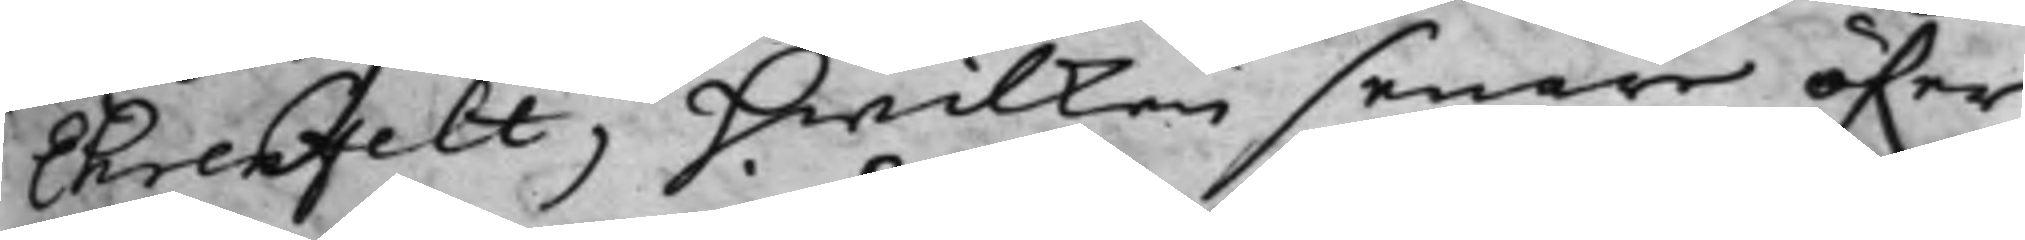Ehrenfelt, hwilken senare öfwer
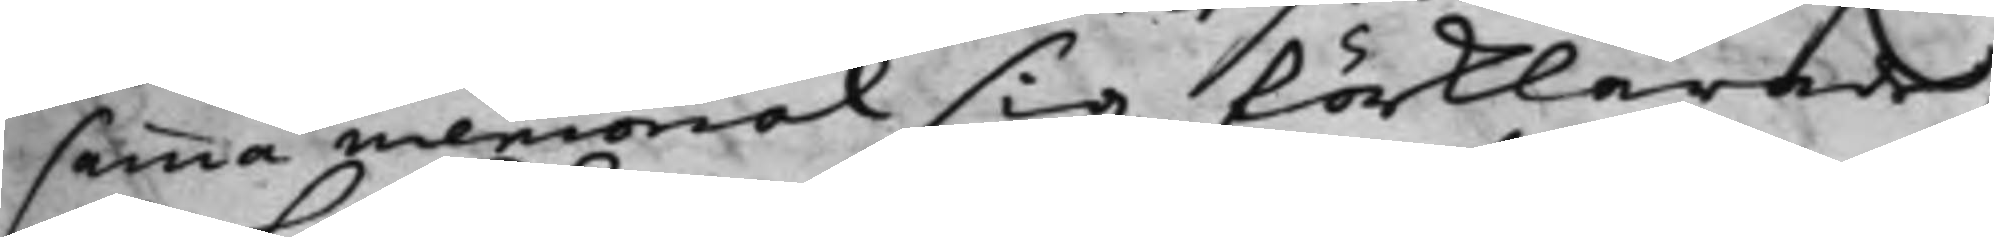samma memorial sig förklarade,
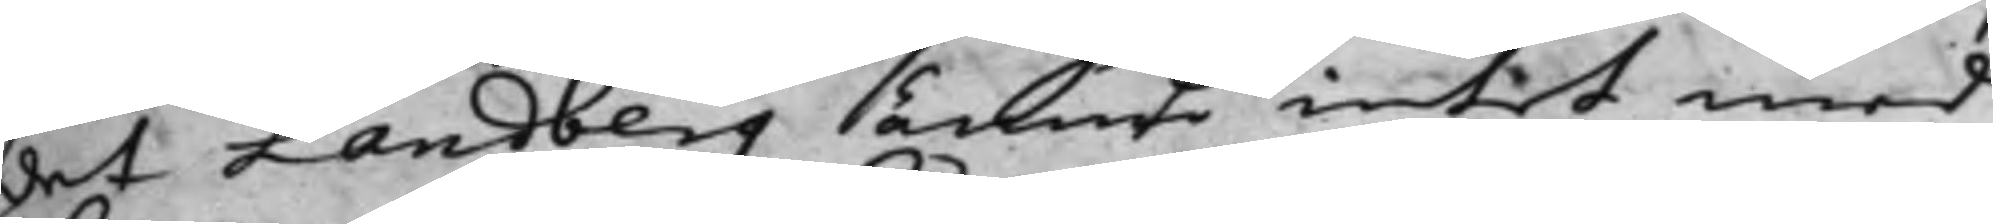det Landberg ännu intet med
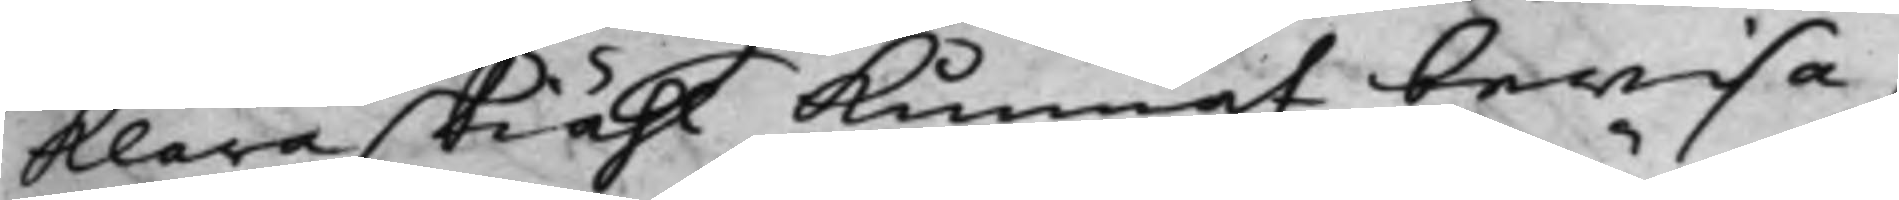klara skiähl Kunnat bewisa,
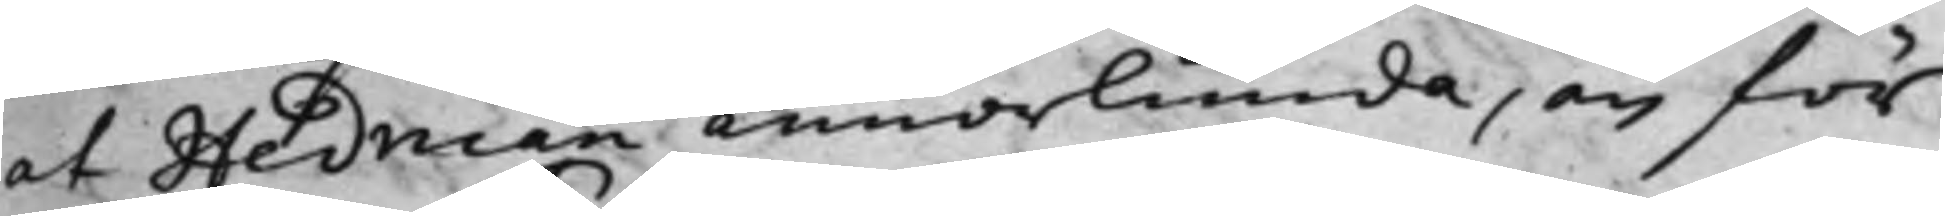at Hedman annorlunda, än för
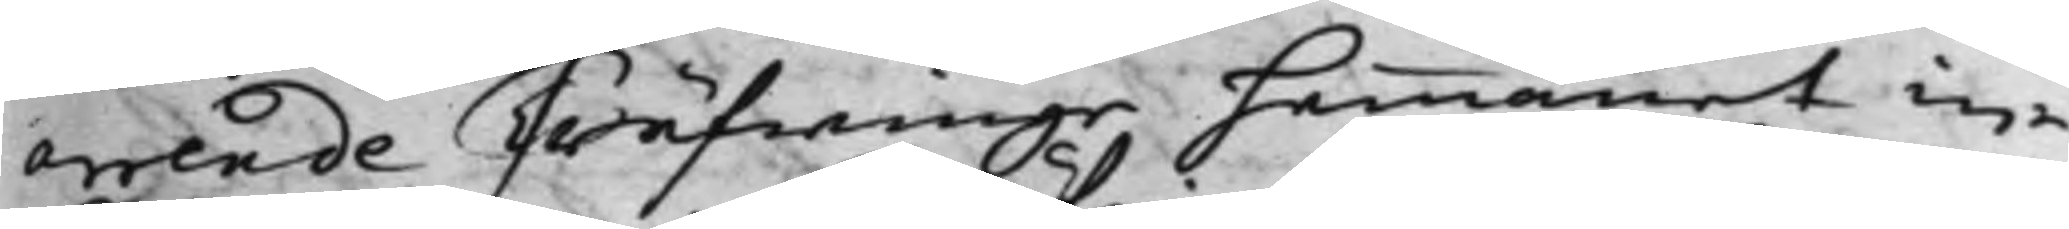errende Träfwinge hemmanet in¬
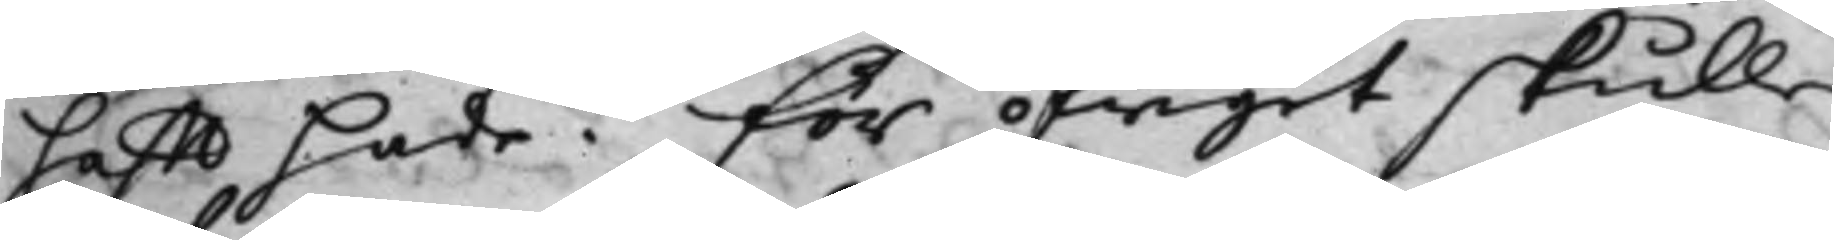hafft hade. För öfrigit skulle
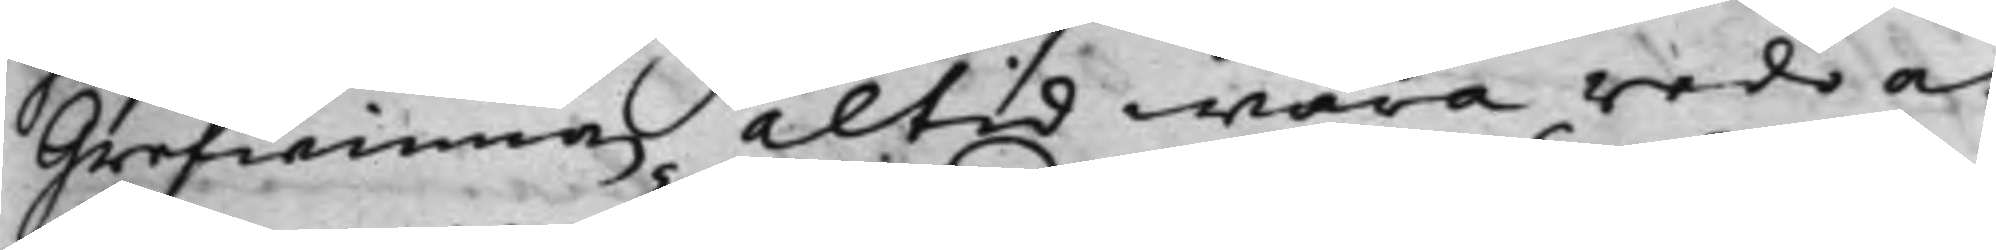Grefwinnan altid wara redo at
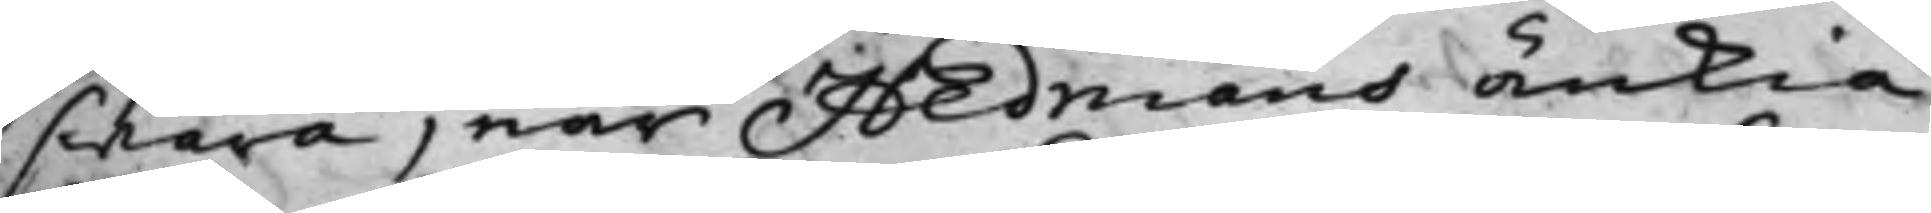swara, när Hedmans änkia
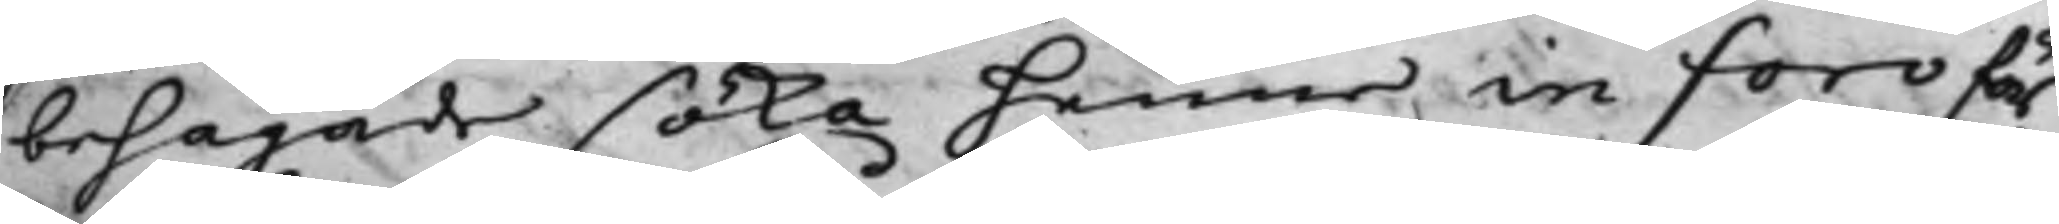behagade söka henne in Foro för
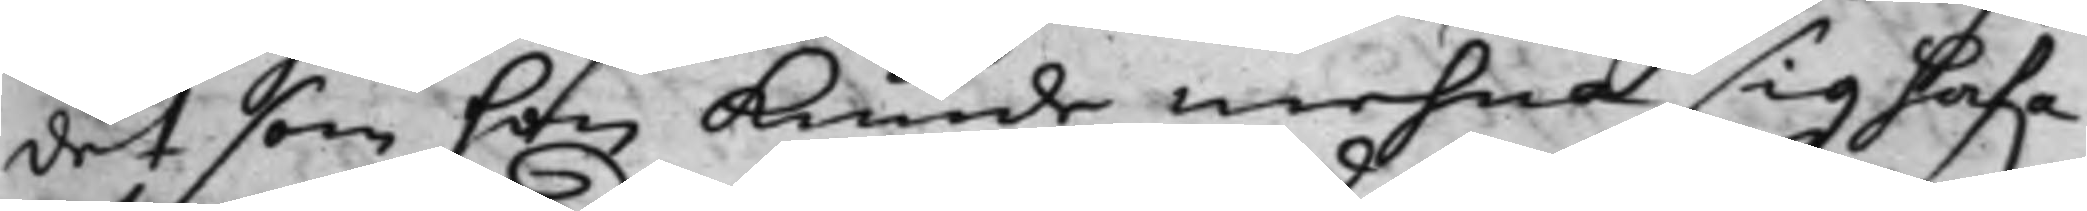det som hon kunde mehra sig hafwa 
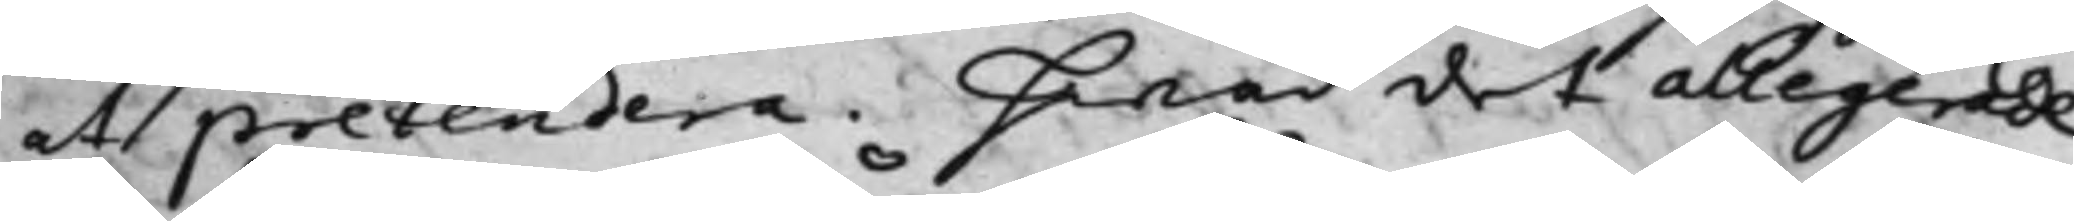att pretendera. Hwad det allegerade
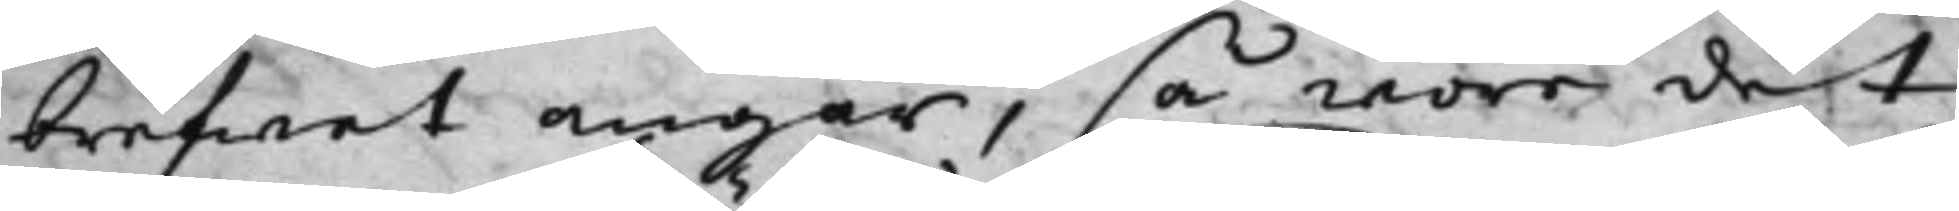brefwet angår, så wore det
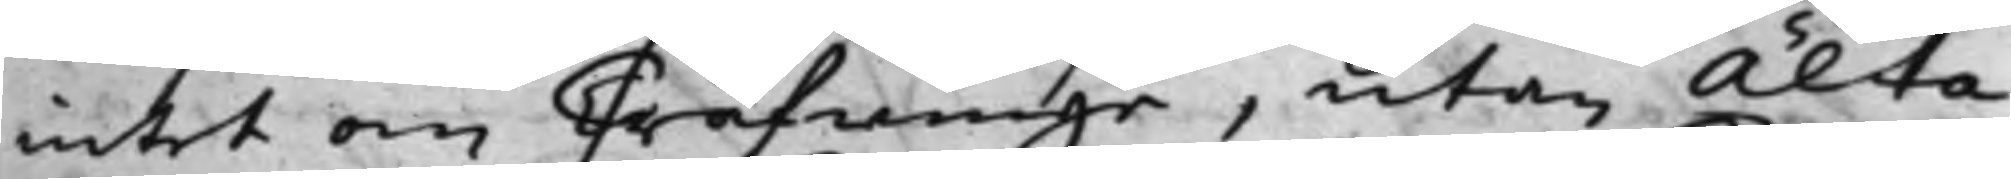intet om Träfwinge, utan Älta
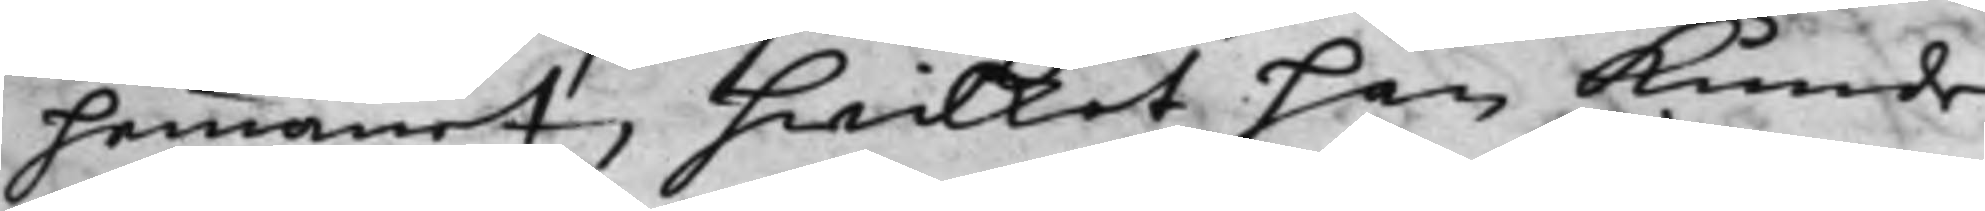hemmanet, hwilket han kunde
